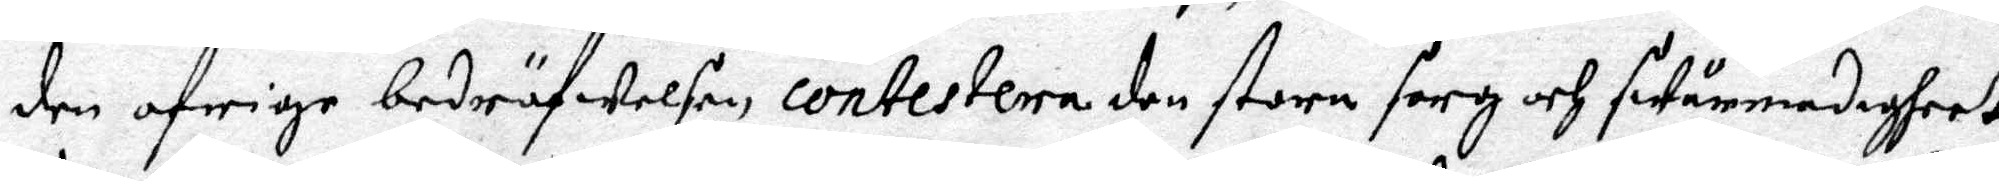den öfrige bedröfwelsen constestera den stora sorg och swårmodigheet
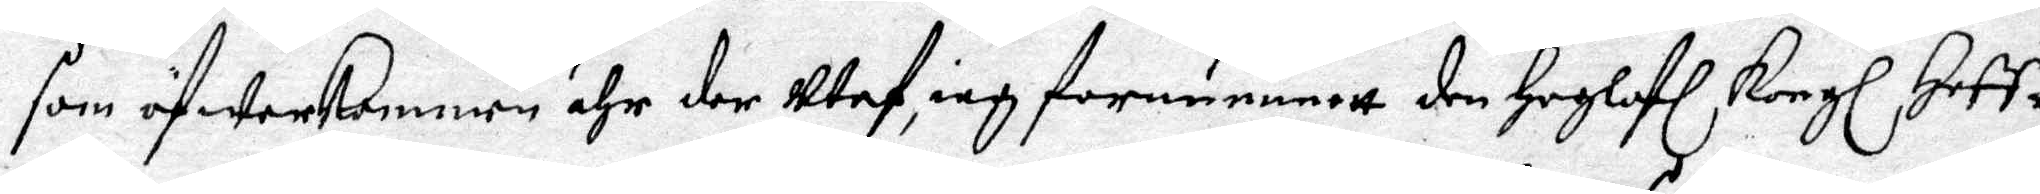som öfwerkommen ähr der utaf, iag fornummett den Hoglofl Kongl Hoff¬
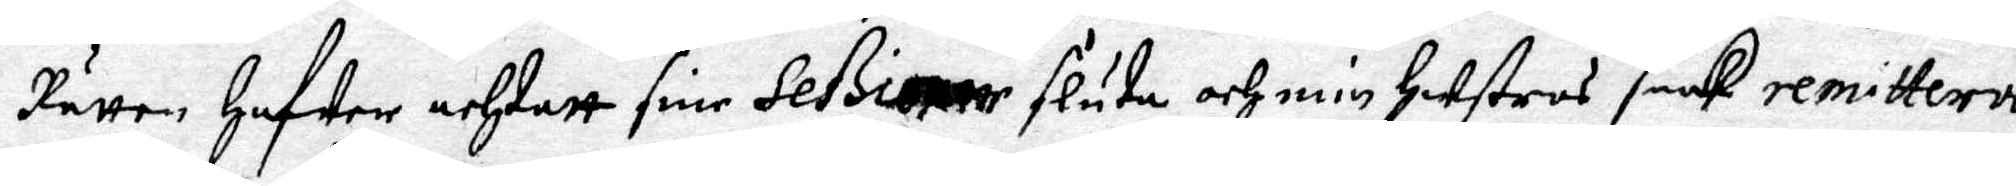Rätten Hafwer och tatt sine seßioner sluta och min hustros saak remittera
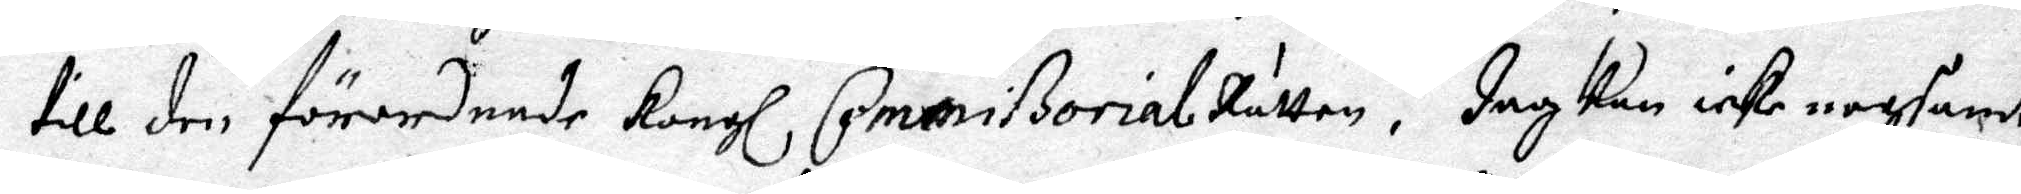till den förordnade Kongl CommißorialRätten. Jag kan icke nogsamt
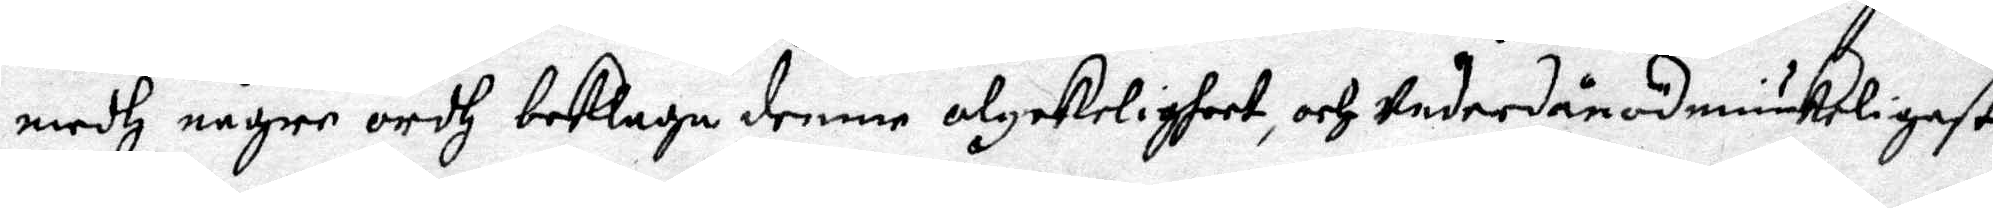medh någre ordh beklaga denne olyckligheet, och underdånödmiukast
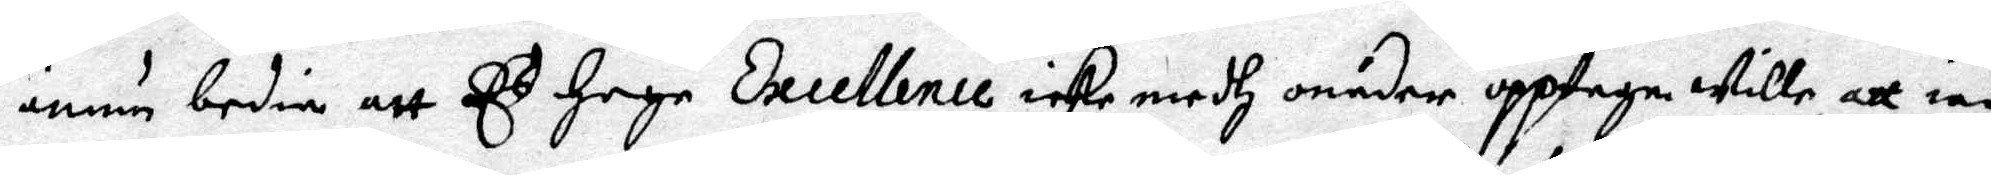ännu bedia att E.s Hoga Excellence icke medh onåder upptaga wille, att iag
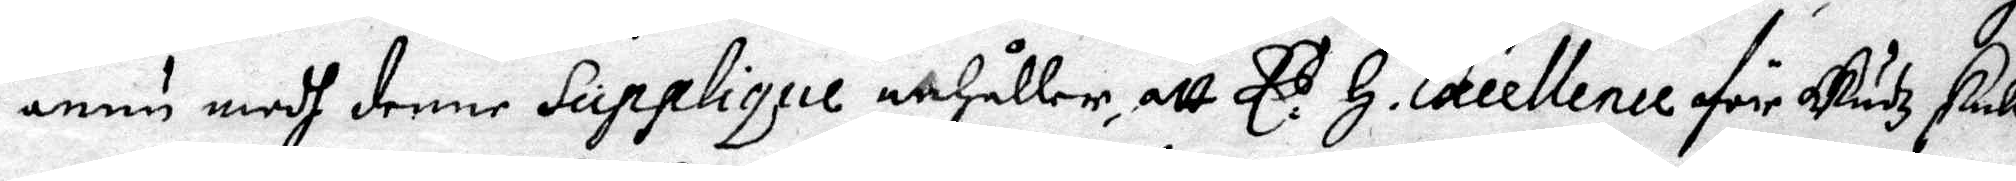ännu medh denne SuppliqueanHåller, att E.s H. Excellence för Gusz skull,
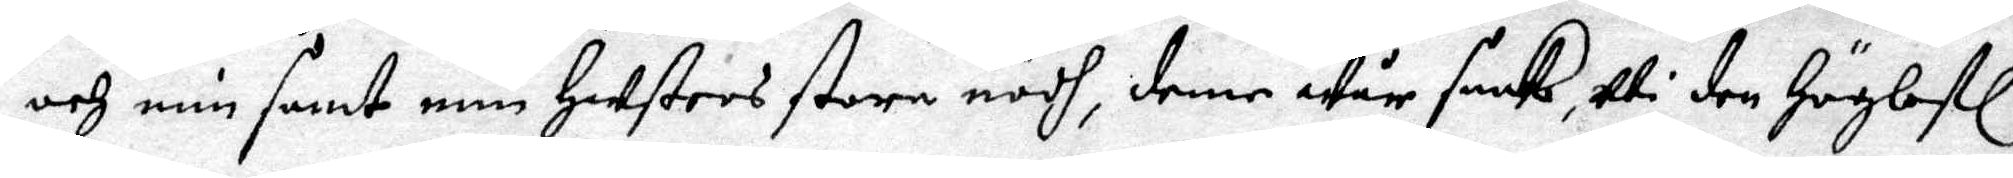och min samt min Hustros stora nödh, denne wår saak, uti den Höglofl
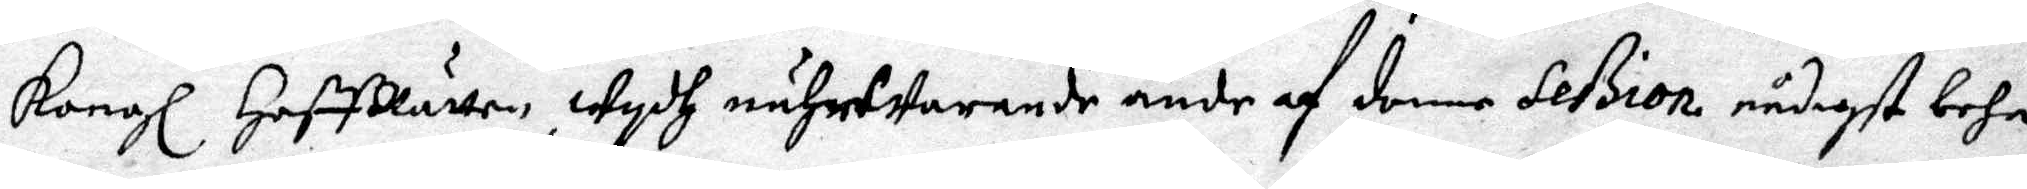Kongl HoffRätten, wydh nährwarande ände af denne Seßion nådigst beha¬
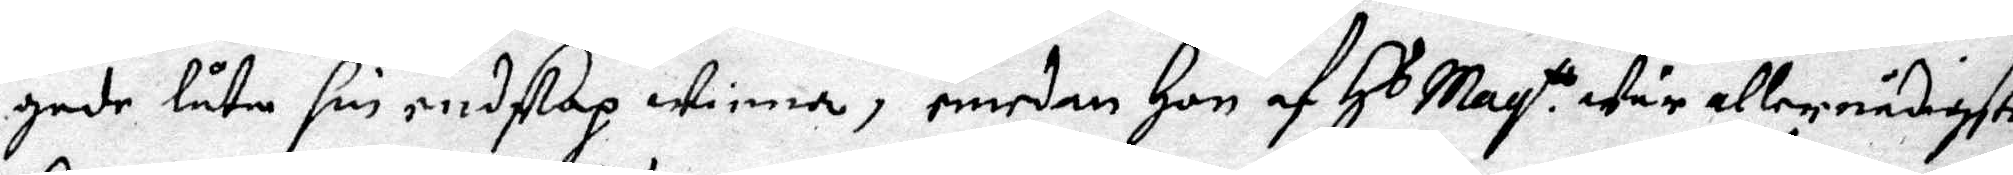gade låta sin endskap winna, emedan Hon af Hs May.tt wår allernådigste
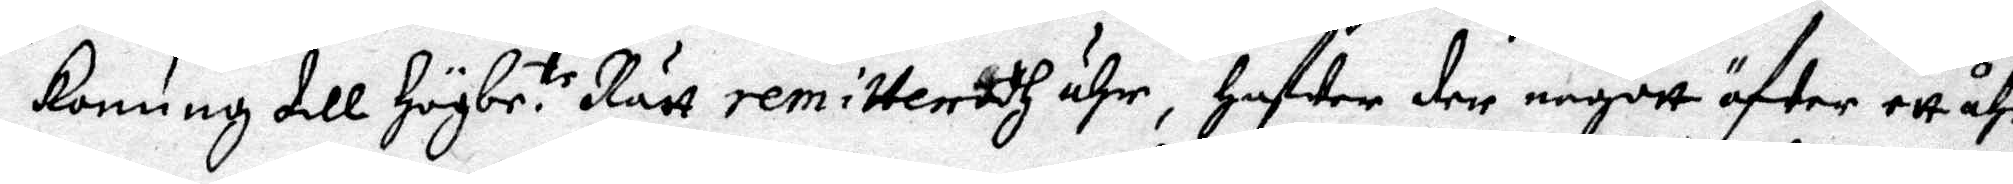konung till Högbr.te Rätt remitteradh ähr, Hafwer der någott öfwer ett åhr
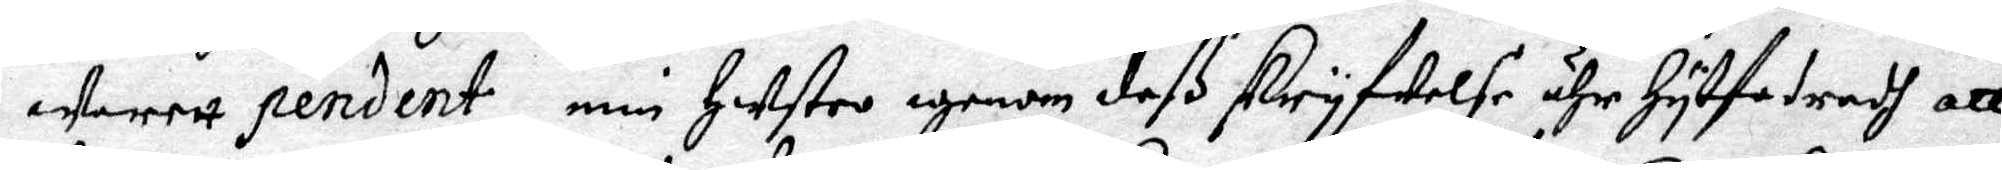warett pendent, min Hustro egenom deß skryfwelse ähr Hytfodradh att
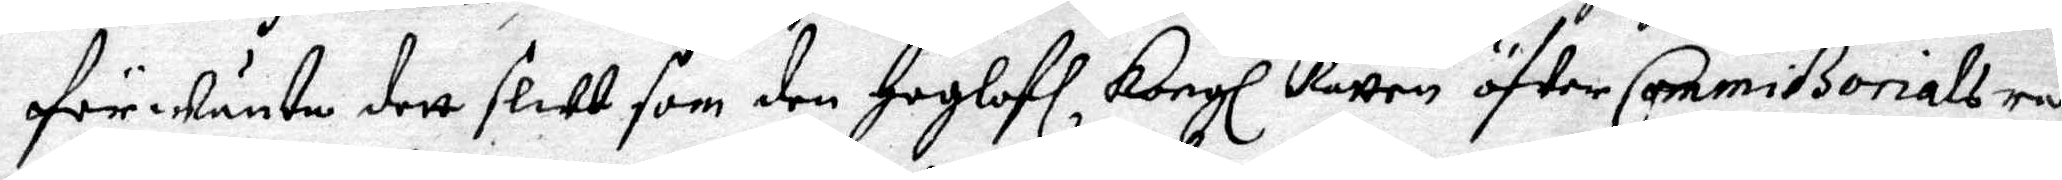förwänta dett slut som den Hoglofl Kongl Rätten öfwer Commißorials ran¬
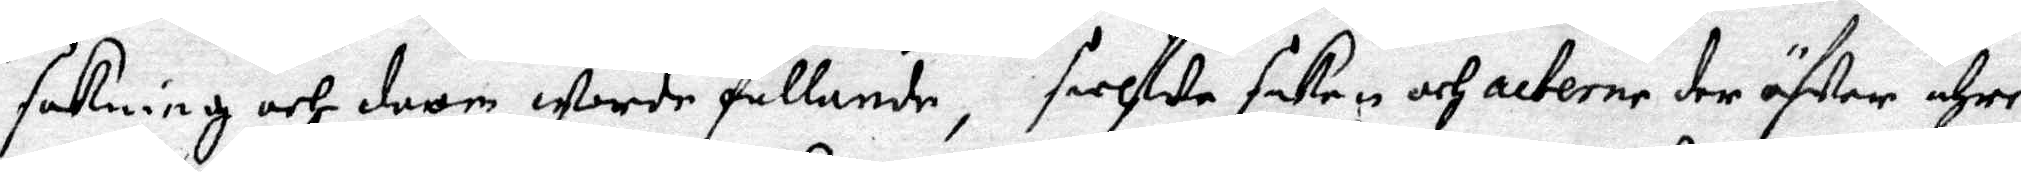sakning och doom warde fällande, sielfwe saken och acterne der öfwer ähre
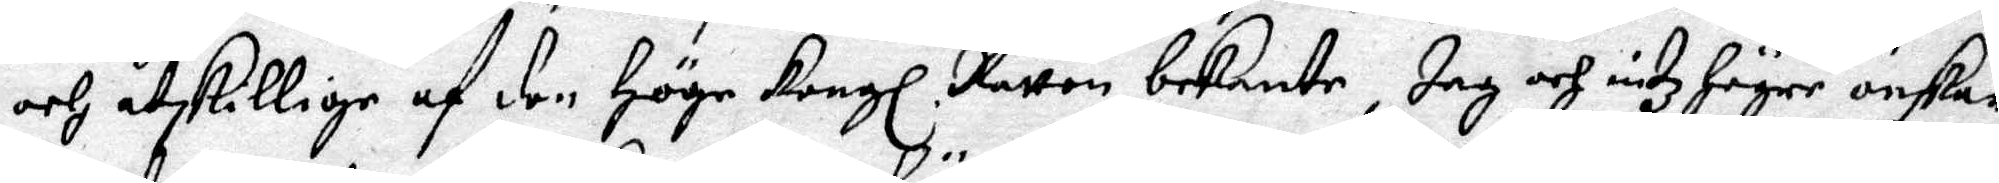och åtskillige af den Höge Kongl Rätten bekante, Jag och intz Högre önskar
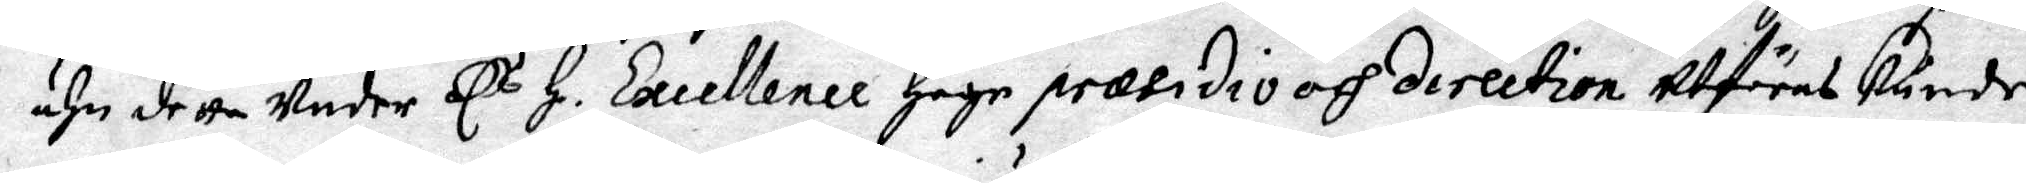ähn detta under E.s H. Excellence Höge præsidio och direction utföras kunde.
